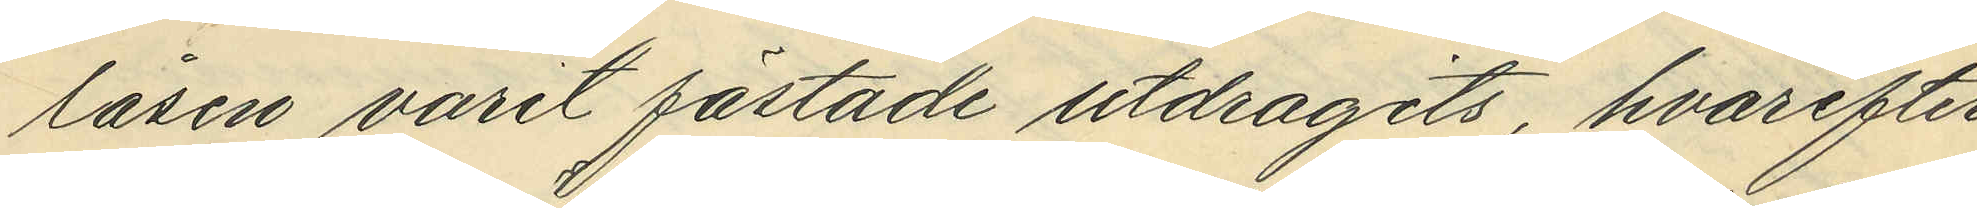låsen varit fästade utdragits, hvarefter
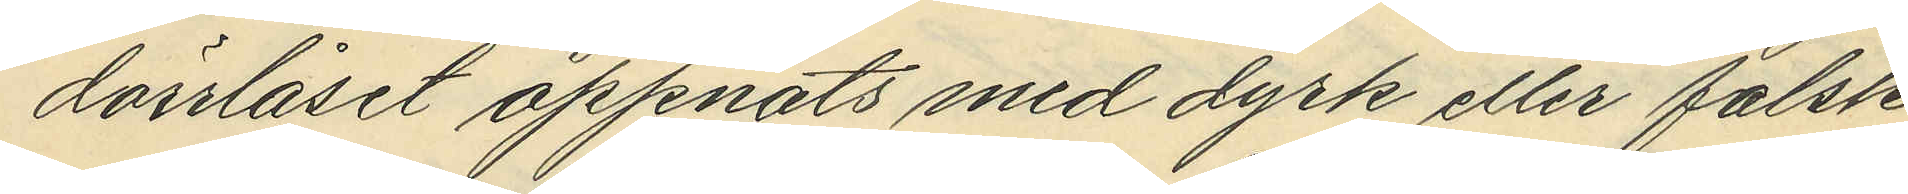dörrlåset öppnats med dyrk eller falsk 
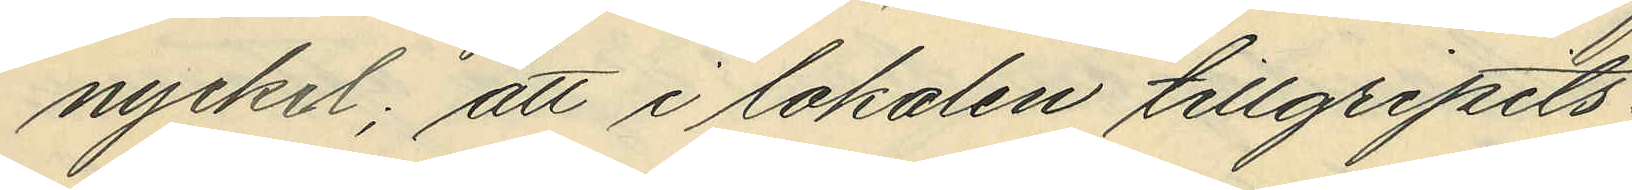nyckel; att i lokalen tillgripits:
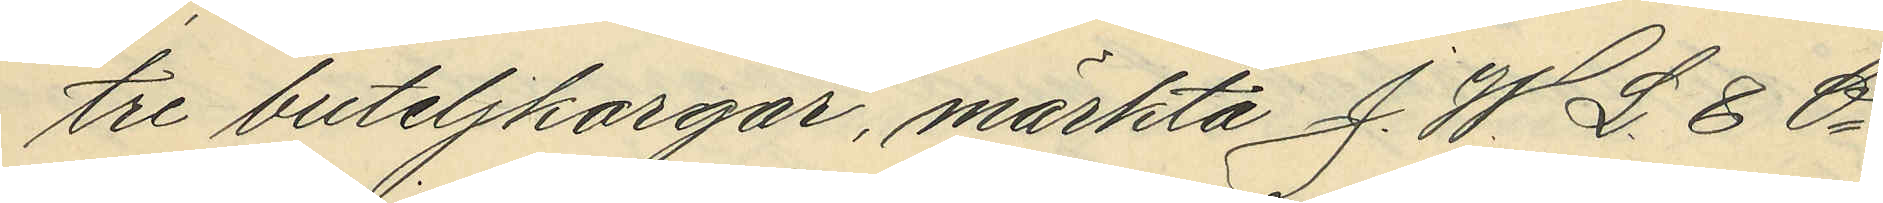tre buteljkorgar, märkta J. W. L & Ci
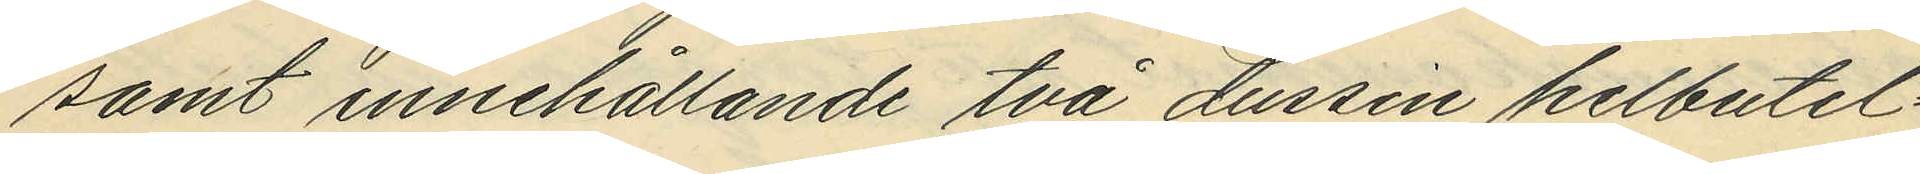samt innehållande två dussin helbutel¬
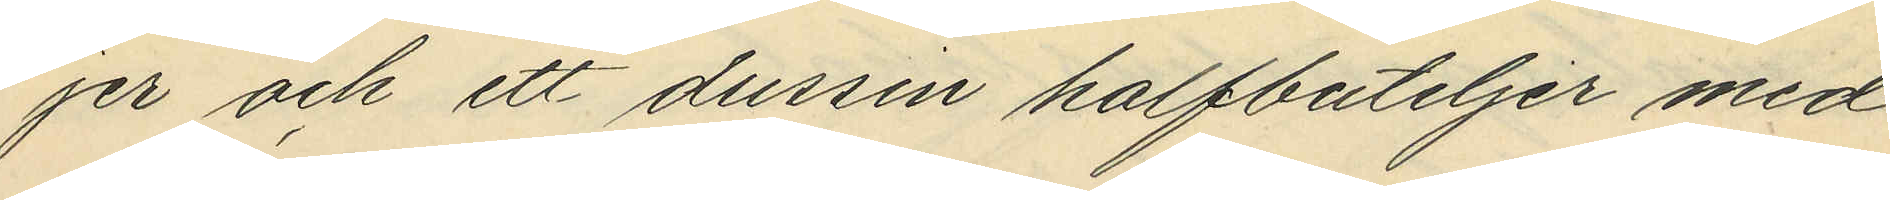jer och ett dussin halfbuteljer med
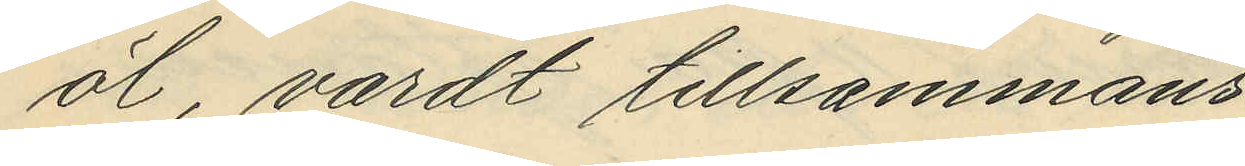öl, vardt tillsammans
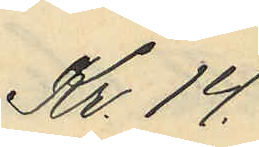Kr. 14.
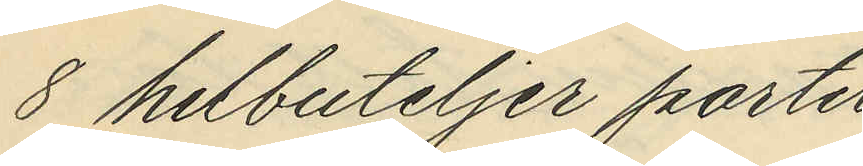8 helbuteljer porter
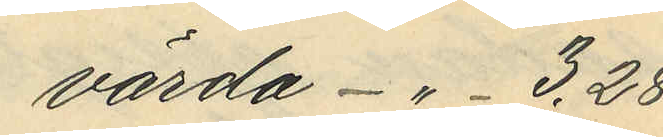värda -"- 3,28
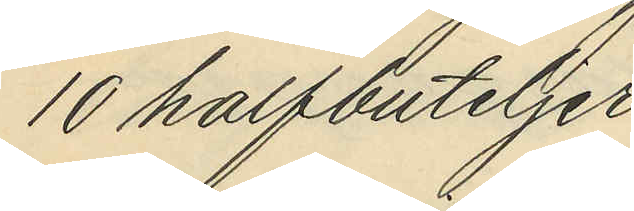10 halfbuteljer
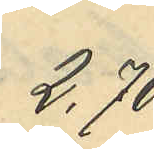2,70
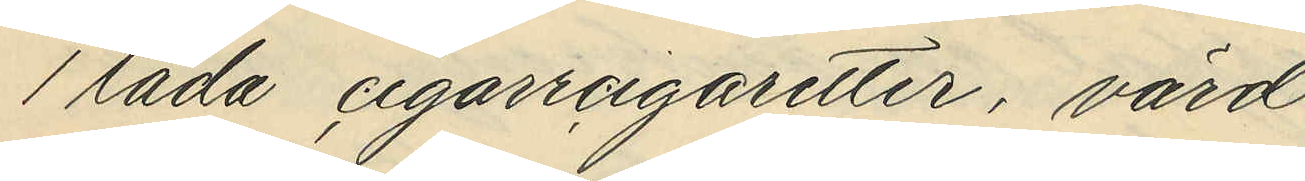1 låda cigarrcigaretter, värd
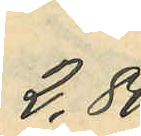2,80
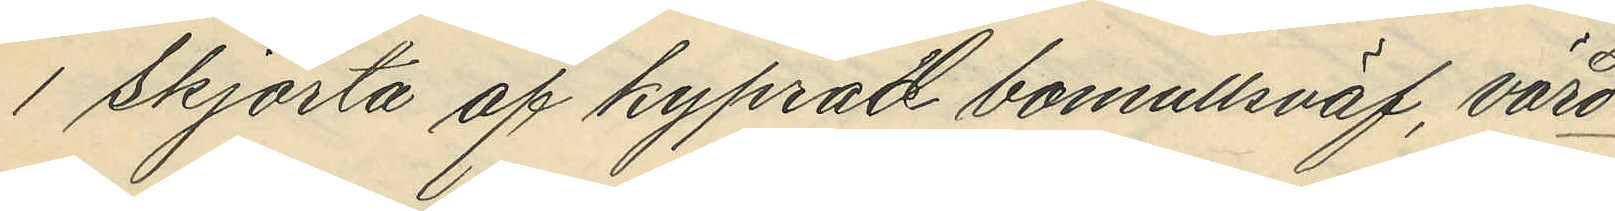1 skjorta af kyprad bomullsväf, värd
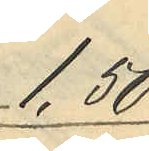1,50
